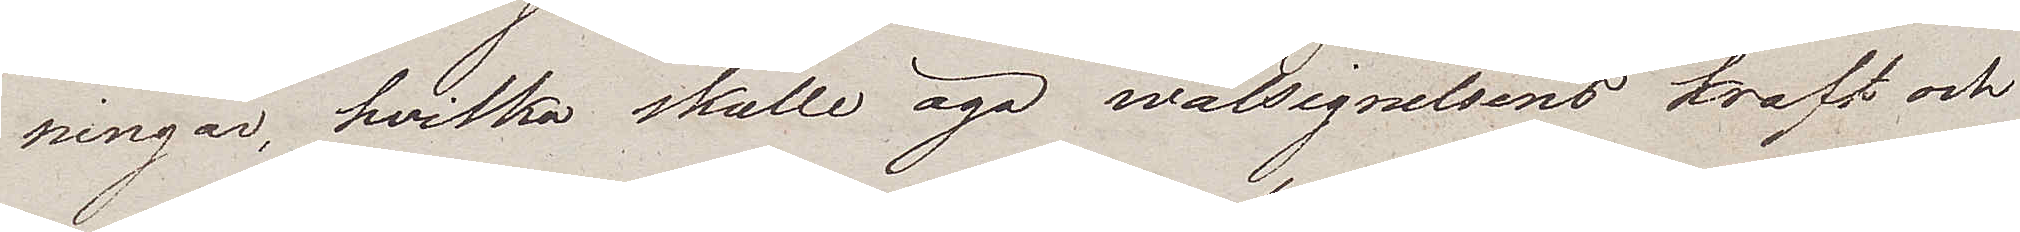ningar, hvilka skulle äga wälsignelsens kraft och
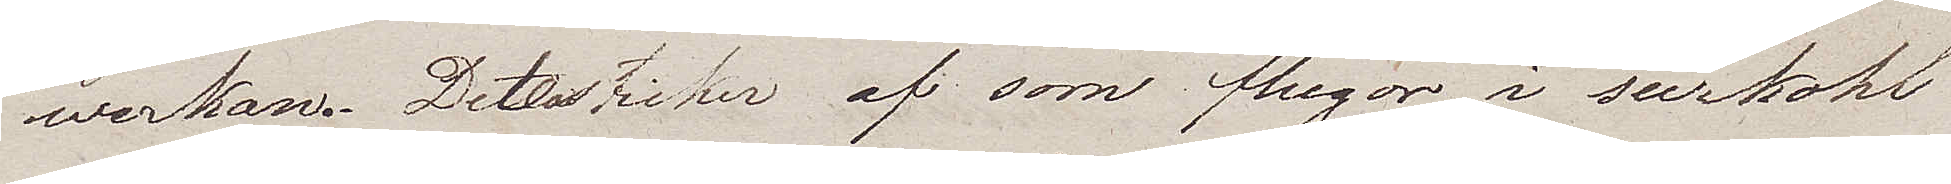werkan. Detta sticker af som flugor i surkohl
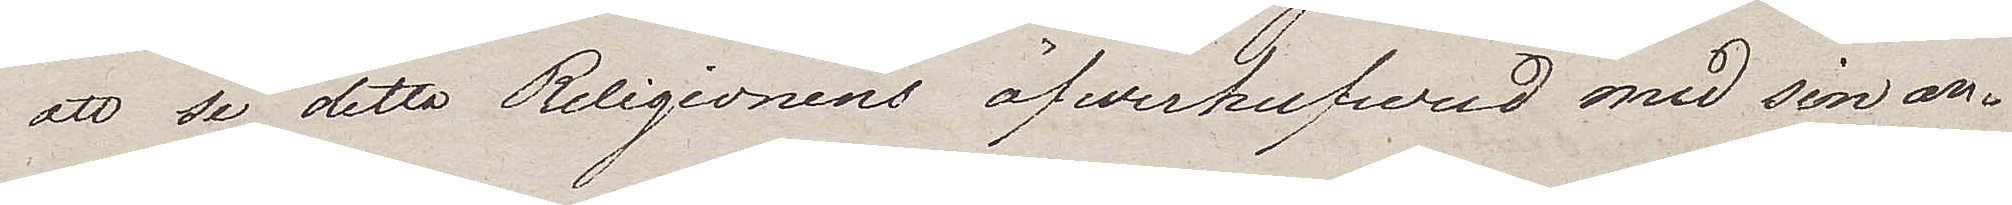att se detta Religionens öfwerhufvud med sin an¬
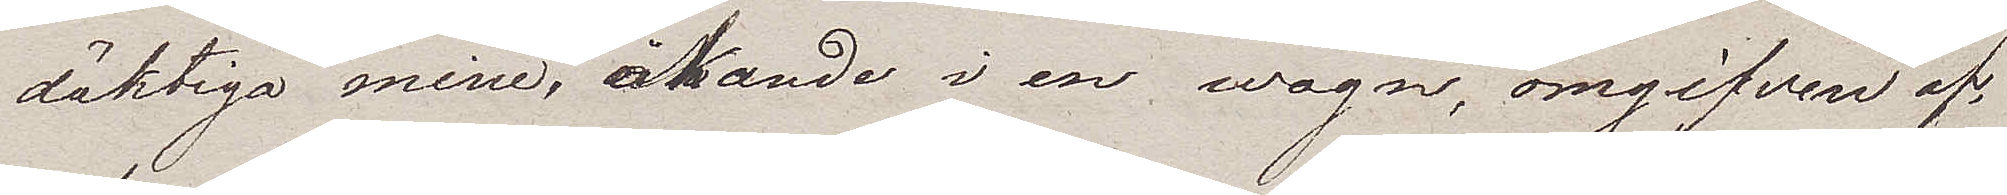däktiga mine, åkande i en wagn, omgifven af
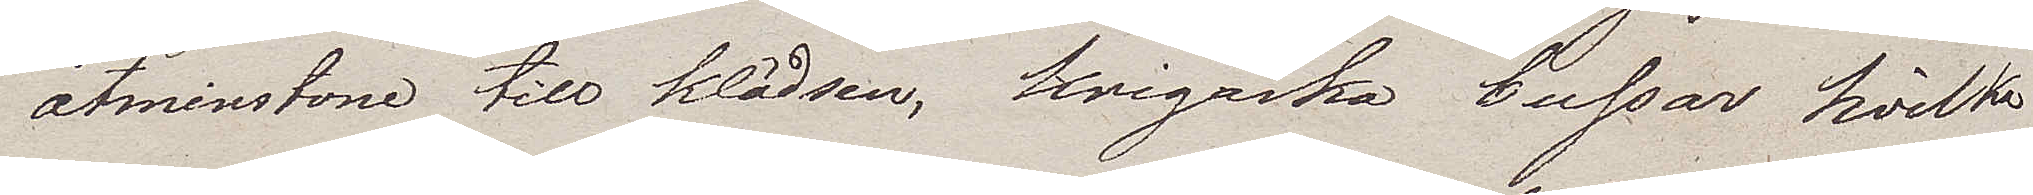åtminstone till klädsen, krigaska bussar, hvilka
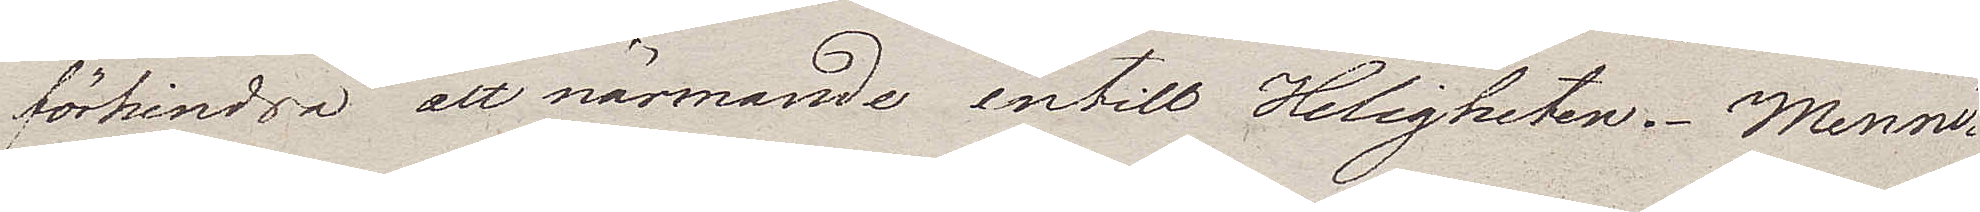förhindra att närmande intill Heligheten. Menni¬
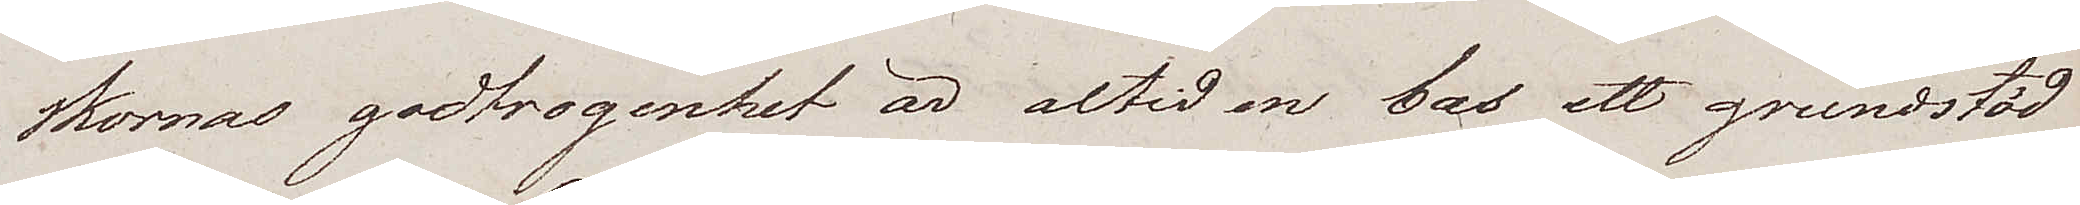skornas godtrogenhet är altid en bas ett grundstöd
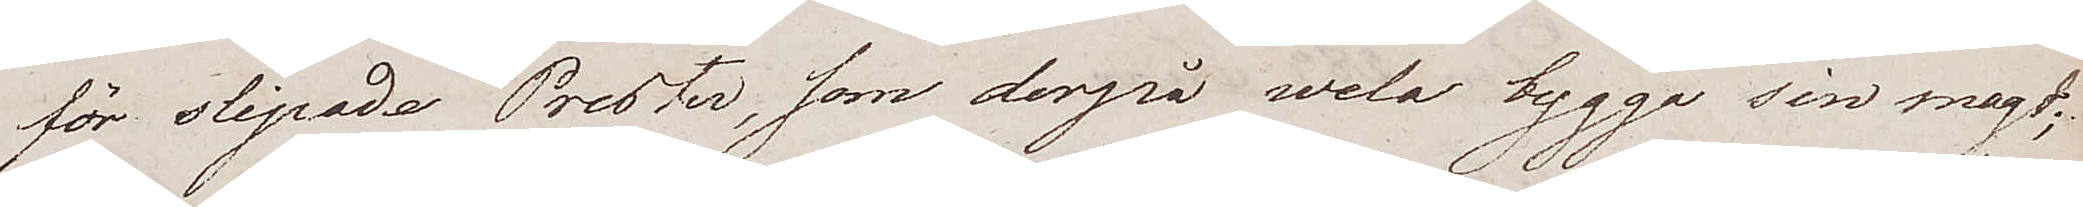för slipade Prester, som derpå wela bygga sin magt;
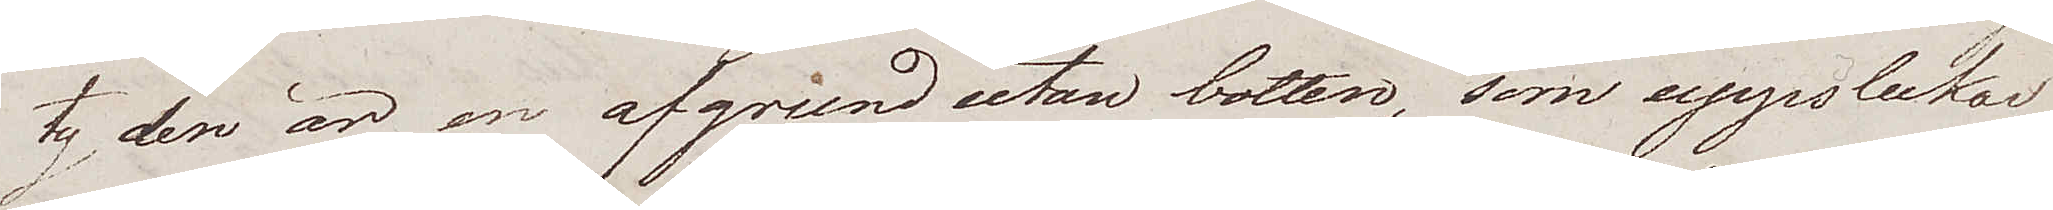ty den är en afgrund utan botten, som uppslukar
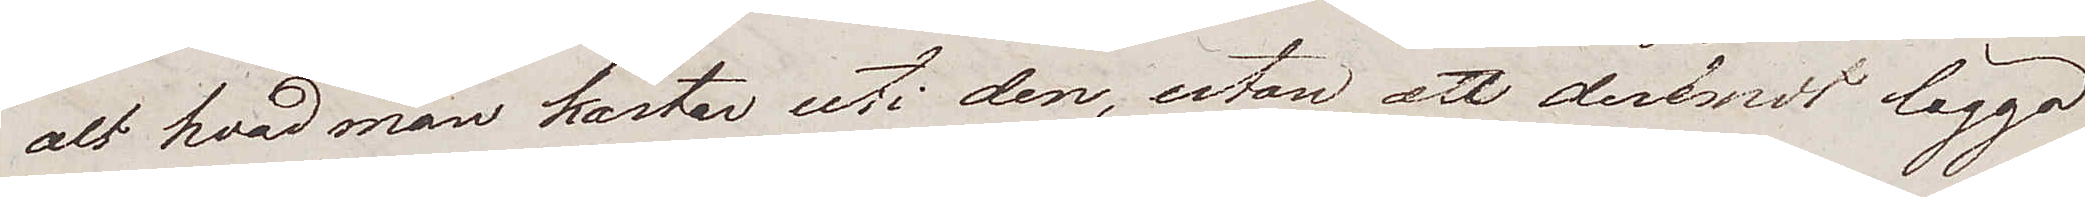alt hvad man kastar uti den, utan att deremot legga
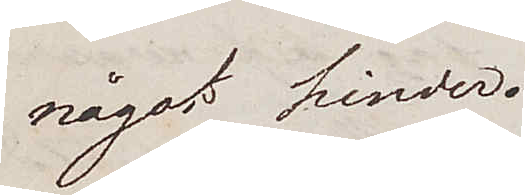något hinder.
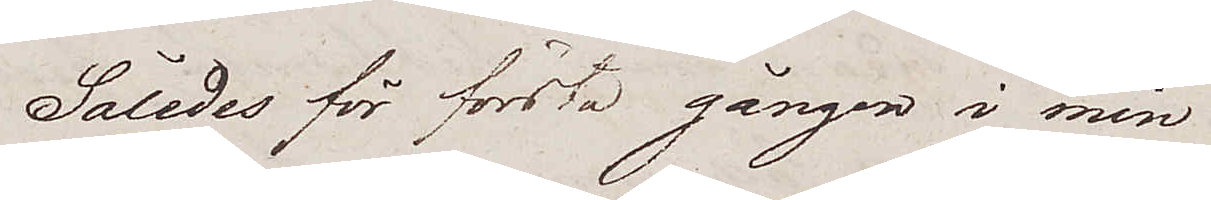Således för första gången i min
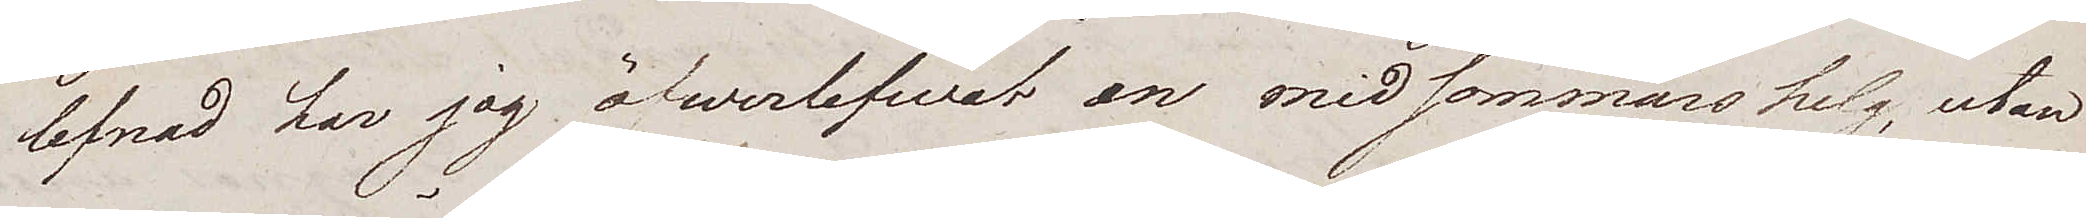lefnad har jag öfwerlefwat en midsommarshelg, utan
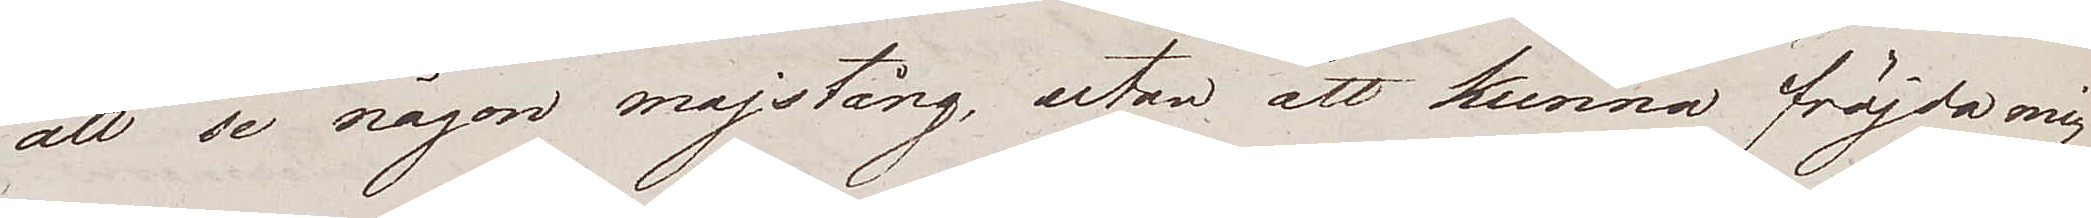att se någon majstång, utan att kunna fröjda mig
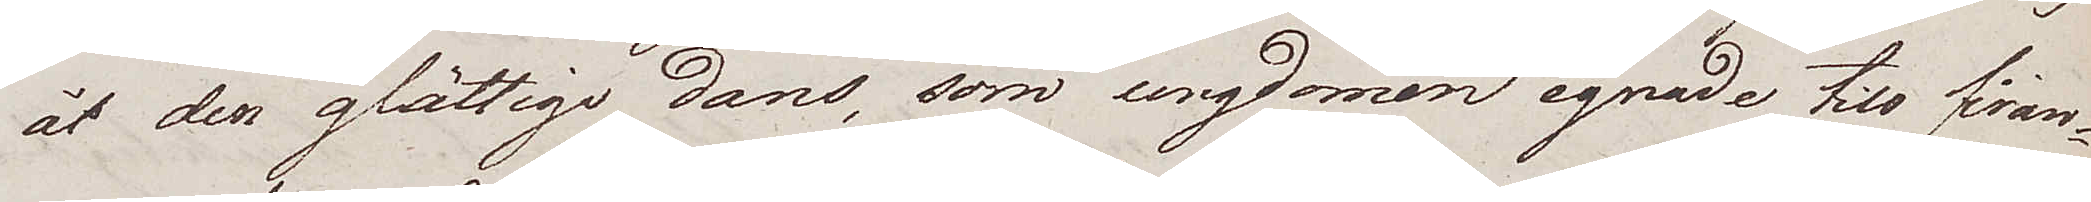åt den glättiga dans, som ungdomen egnade till firan¬
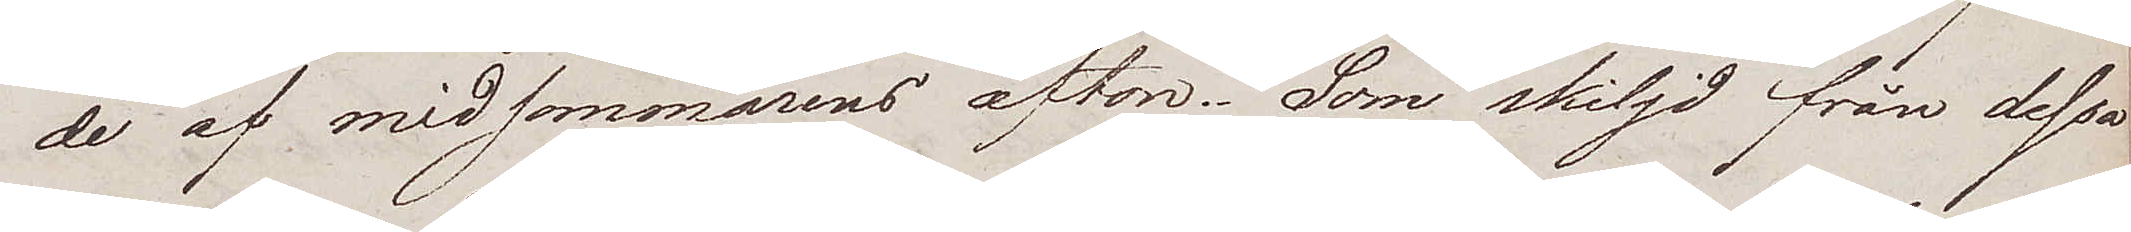de af midsommarens afton. Som skiljd från dessa
